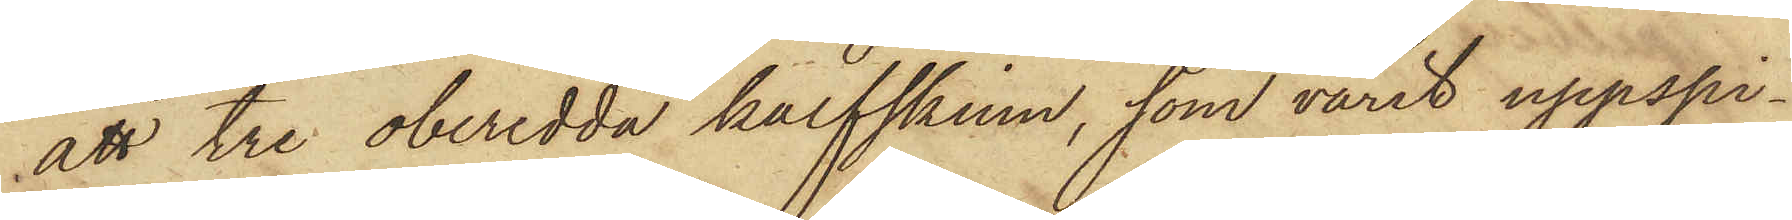att tre oberedda kalfskinn, som varit uppspi¬
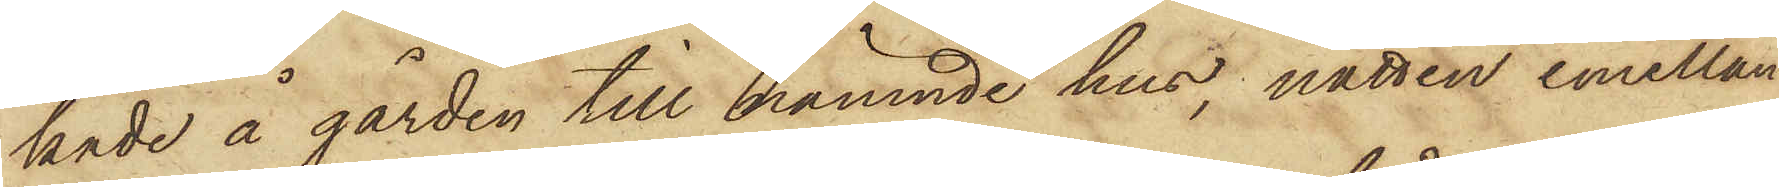kade å gården till nämnde hus, natten emellan
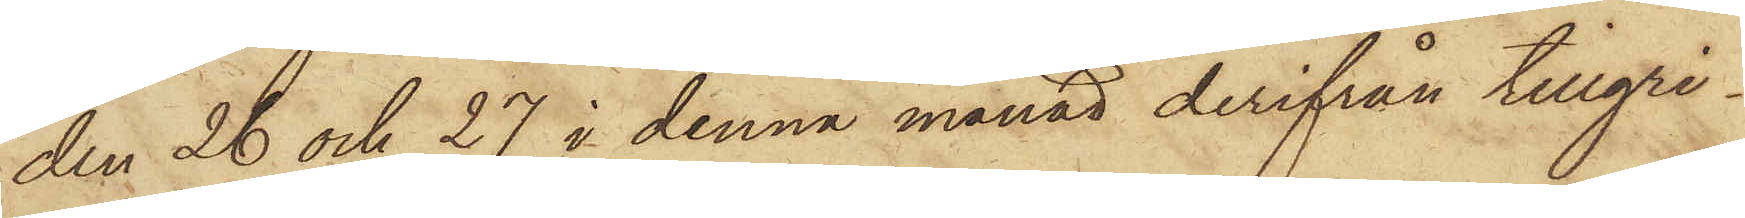den 26 och 27 i denna månad derifrån tillgri¬
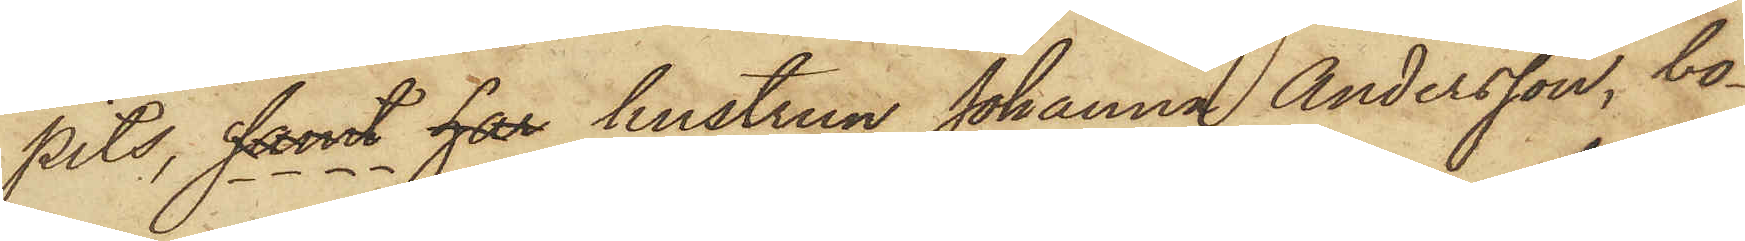pits, samt har hustrun Johanna Andersson, bo¬
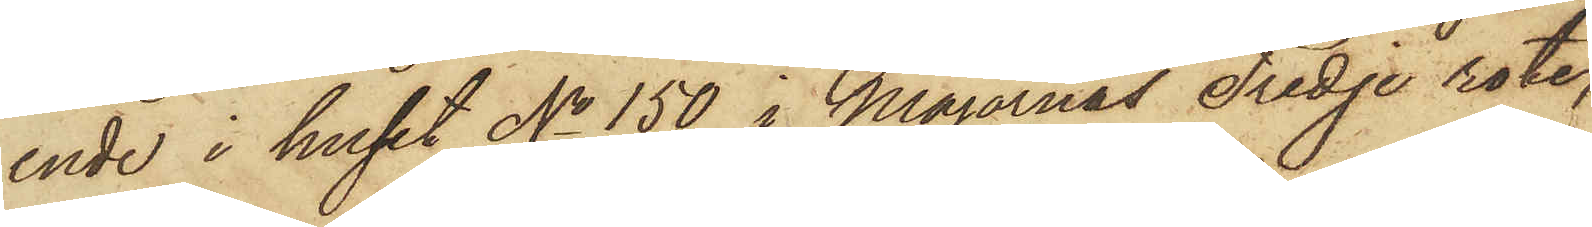ende i huset No 150 i Majornas Tredje rote,
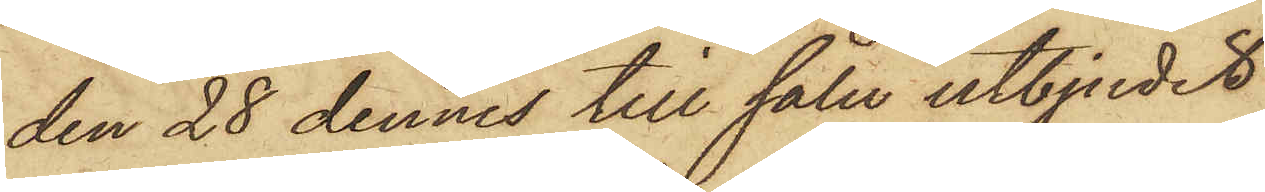den 28 dennes till salu utbjudit
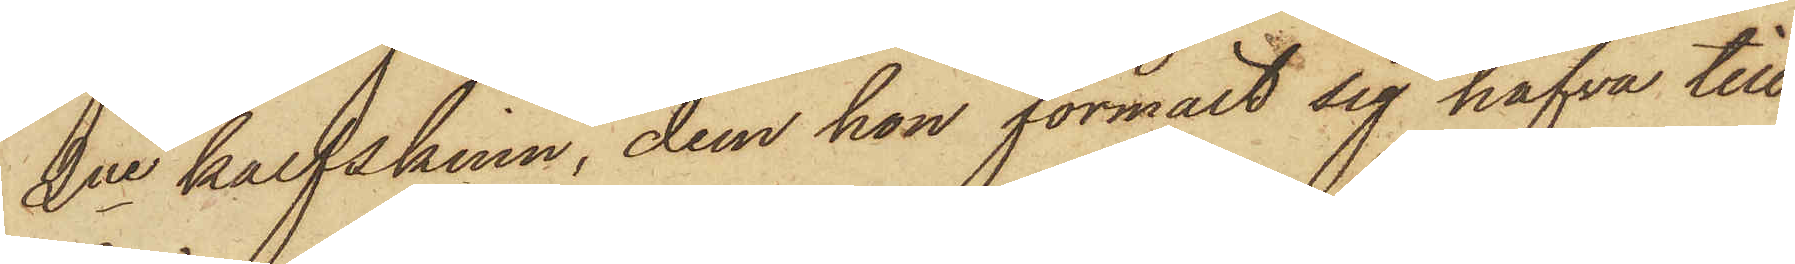2ne kalfskinn, dem hon förmält sig hafva till
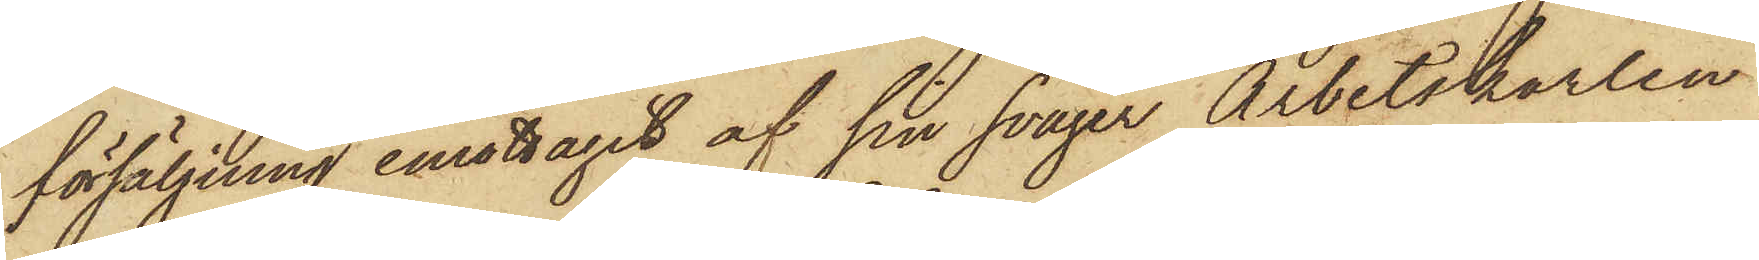försäljning emottagit af sin svåger Arbetskarlen
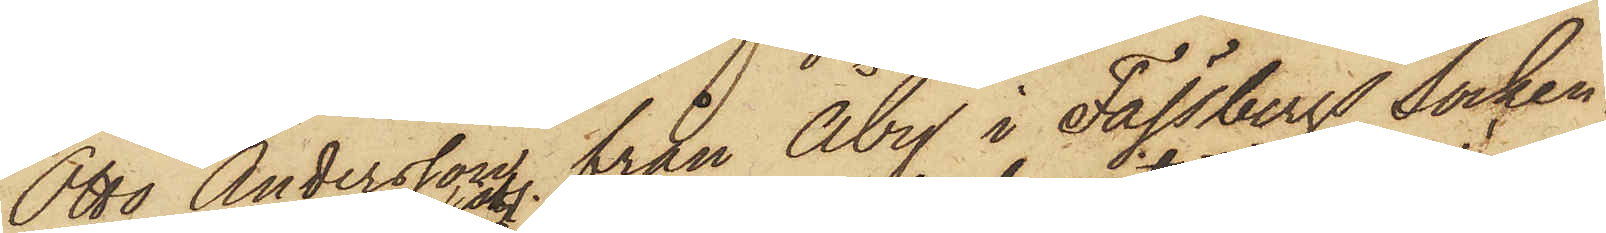Otto Andersson från Åby i Fässbergs Socken,
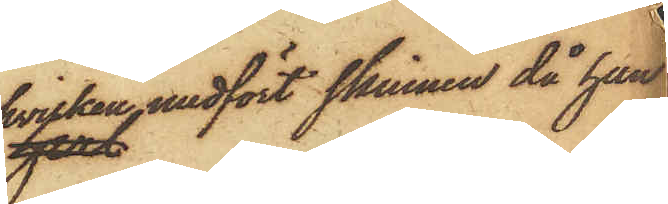hvilken medfört skinnen då han
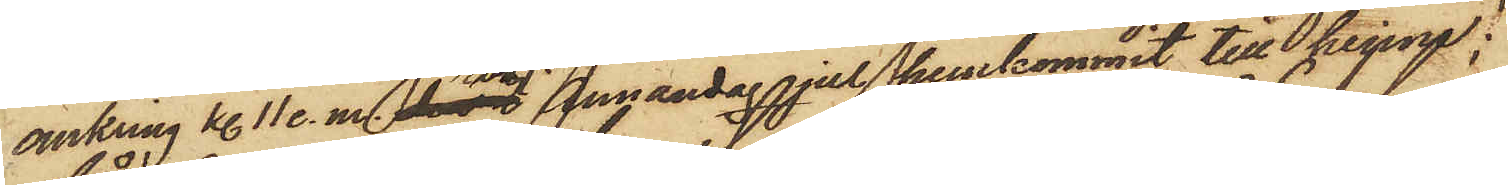omkring kl. 11 e. m. sistl. Annandag jul hemkommit till henne;
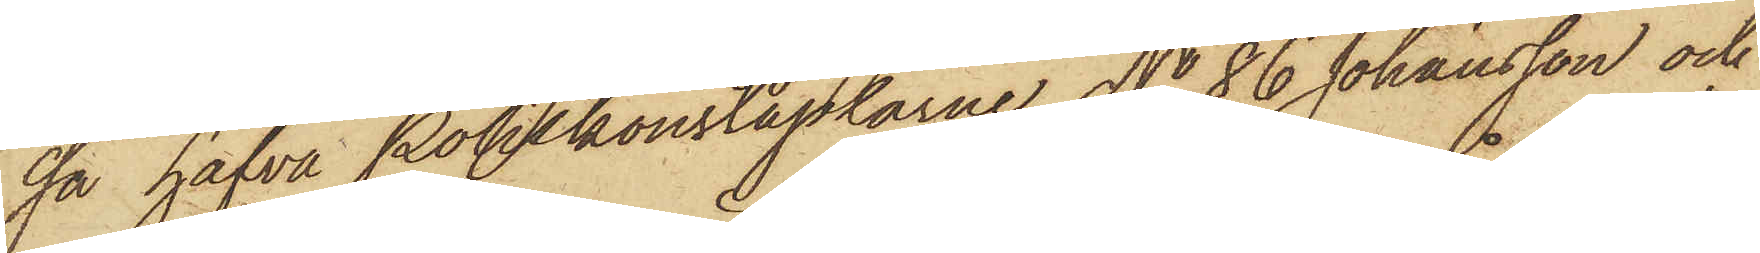så hafva Poliskonstaplarne No 86 Johansson och
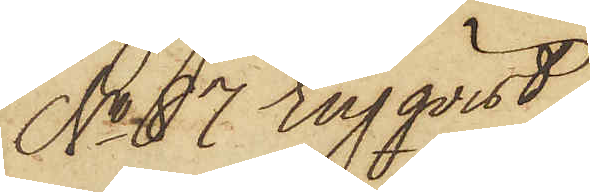No 87 Engqvist
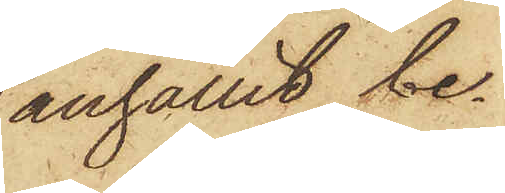anhållit be¬
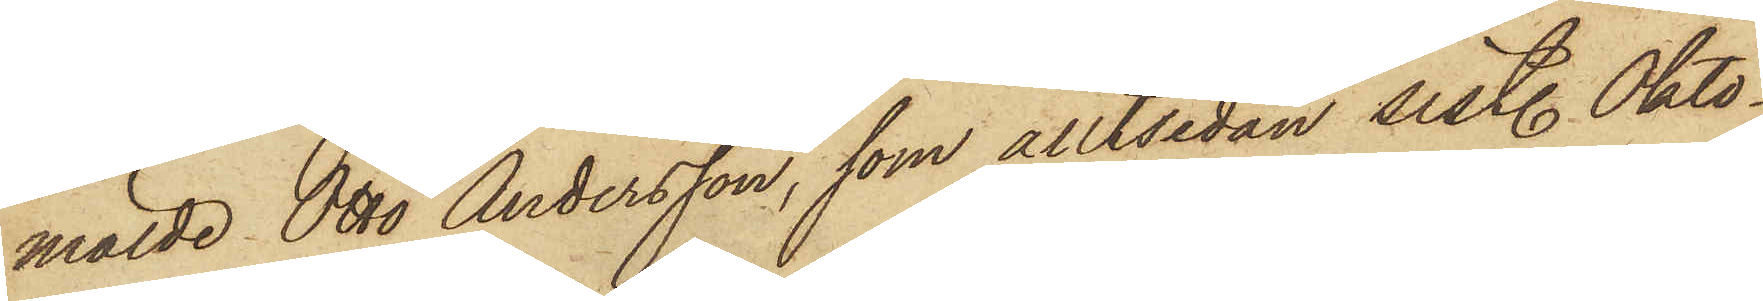mälde Otto Andersson, som alltsedan sistl. Okto¬
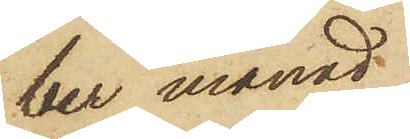ber månad
